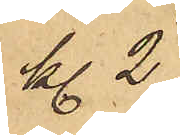Kl. 2
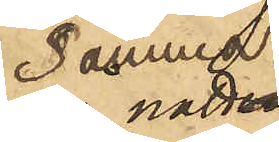samma natt
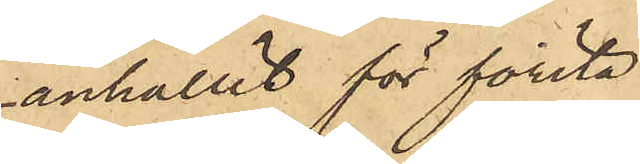 anhållit för första
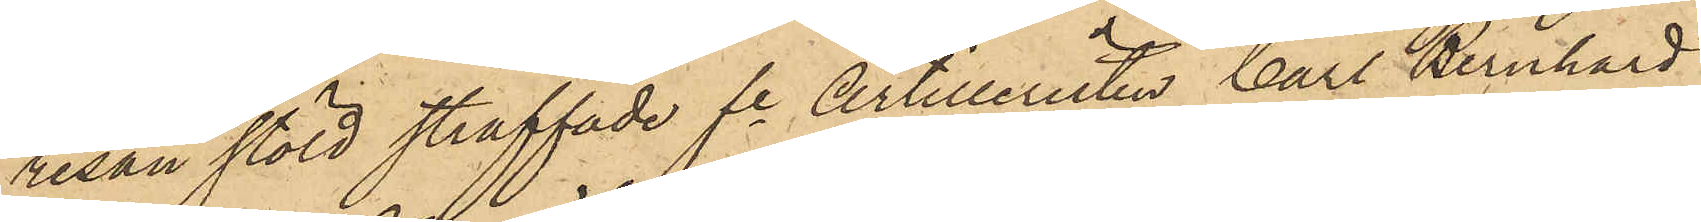resan stöld straffade fre Artilleristen Carl Bernhard
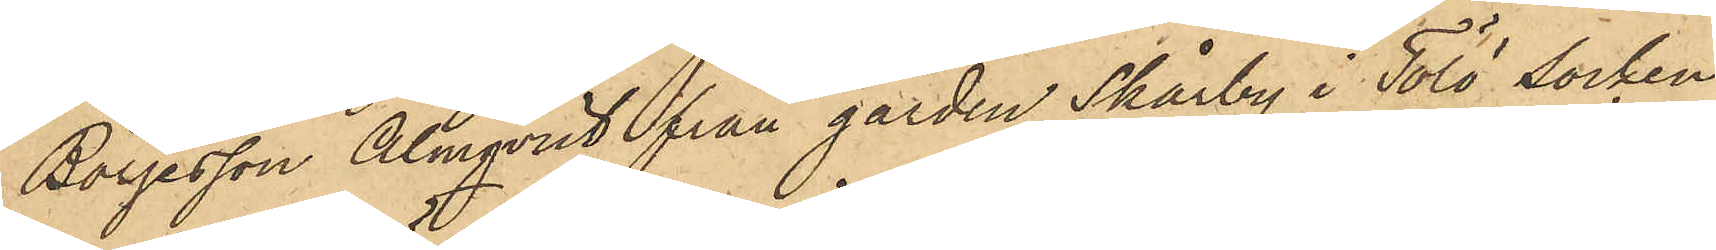Börjesson Almqvist från gården Skårby i Tölö socken
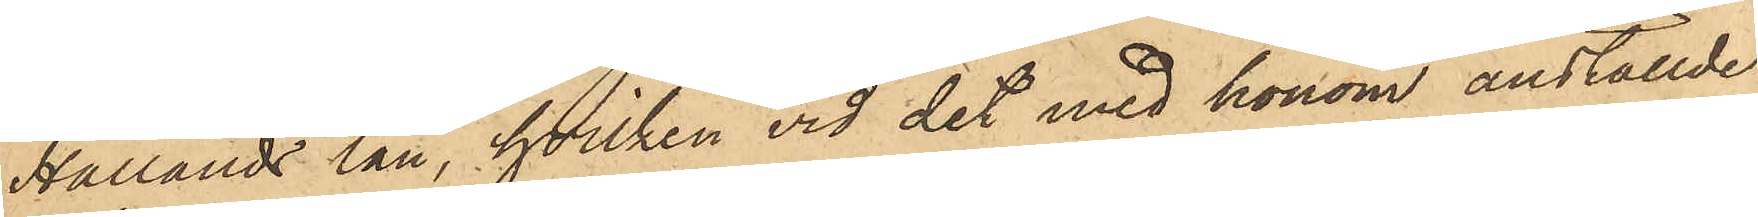Hallands län, hvilken vid det med honom anställde
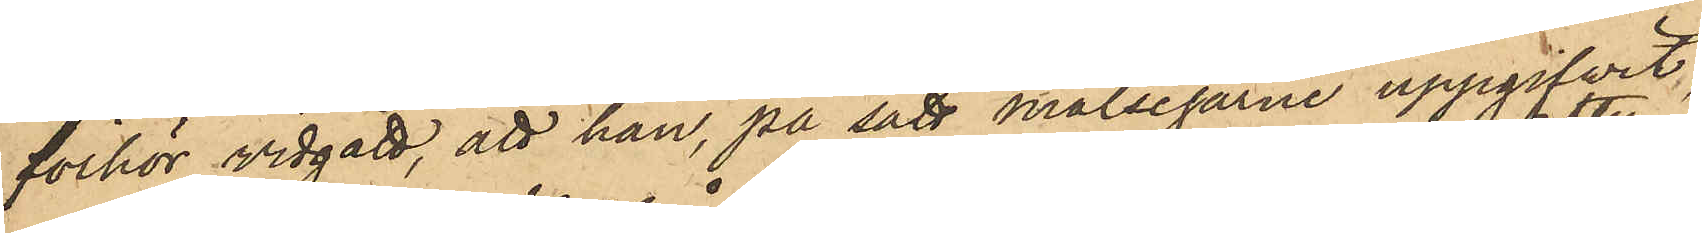förhör vidgått, att han, på sätt målsegarne uppgifvit,
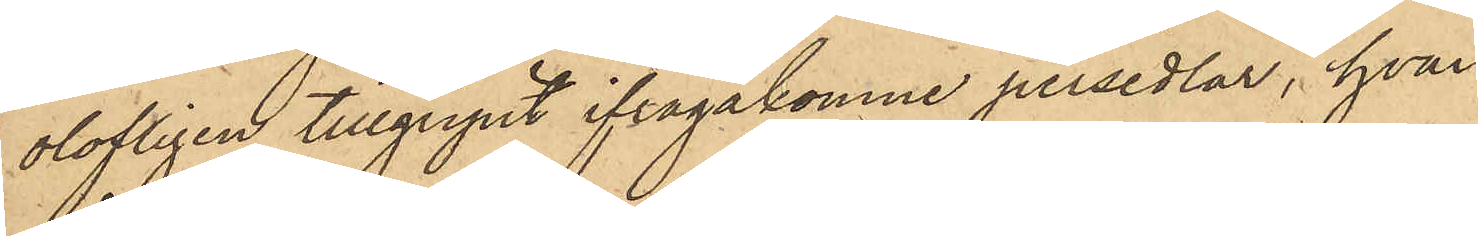olofligen tillgripit ifrågakomne persedlar, hvar¬
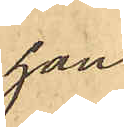han
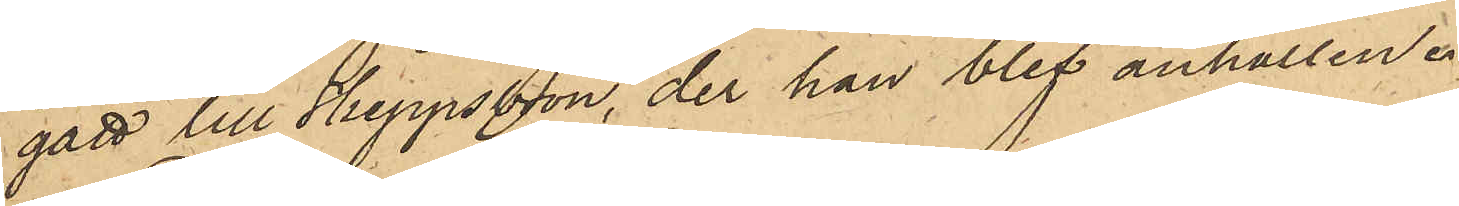gått till Skeppsbron, der han blef anhållen.
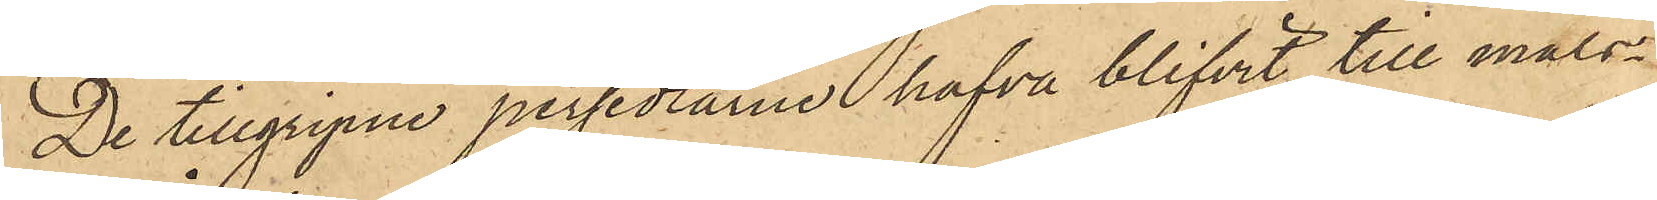De tillgripne persedlarne hafva blifvit till måls¬
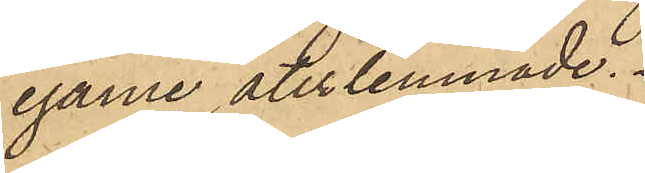egarne återlemnade.
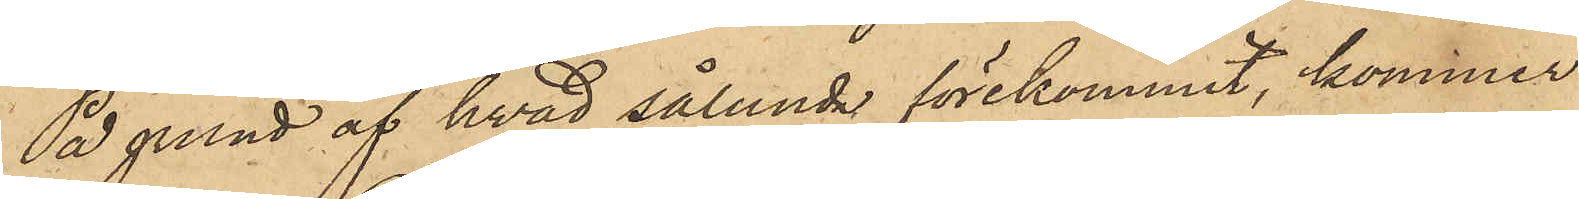På grund af hvad sålunda förekommit, kommer
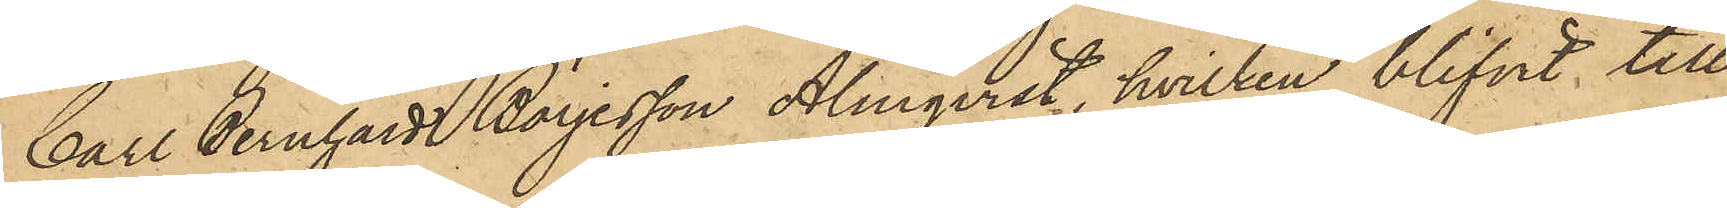Carl Bernhard Börjesson Almqvist, hvilken blifvit till
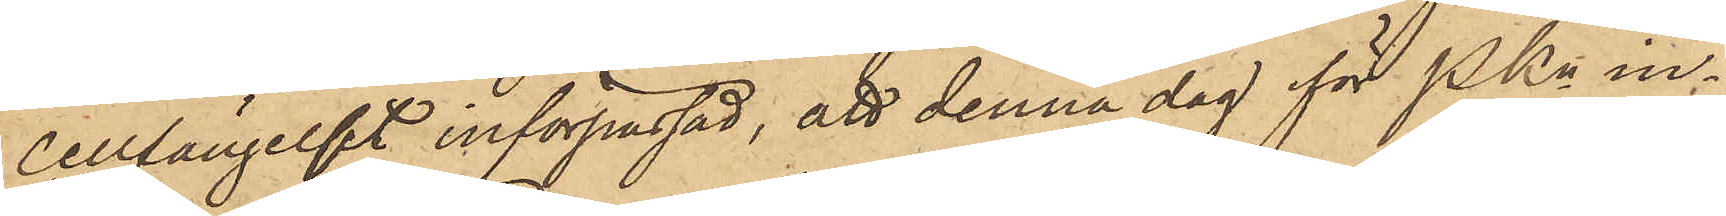cellfängelset införpassad, att denna dag för PKn in¬
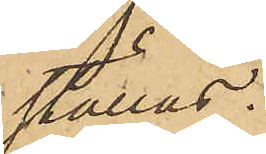ställas.
